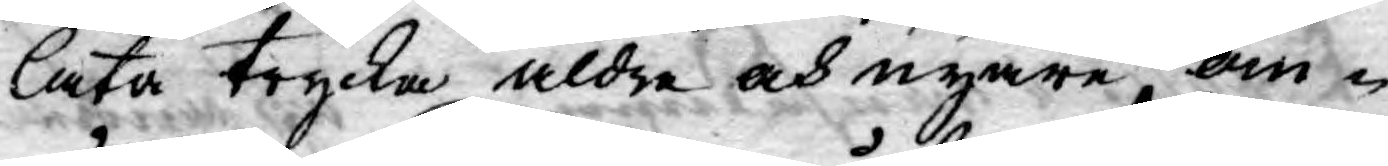låta trycka äldre och nyare, om¬
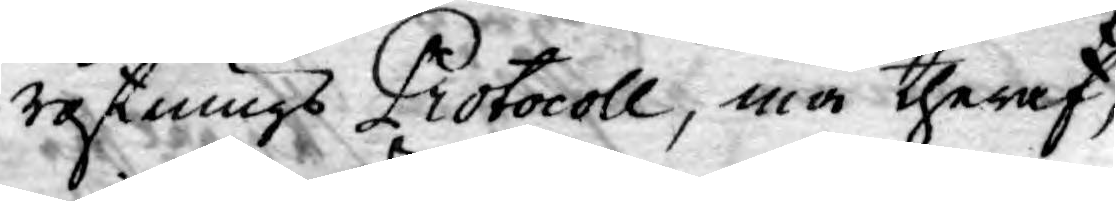röstnings Protocoll, må theraf,
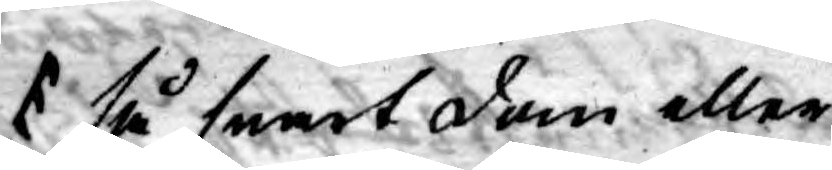så snart dom eller
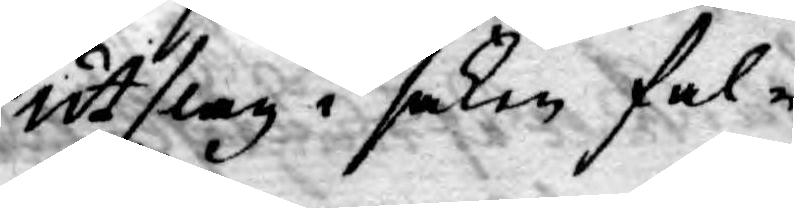utslag i saken fal¬
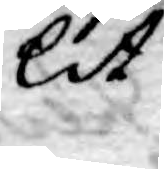lit
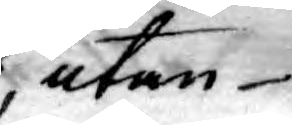,utan
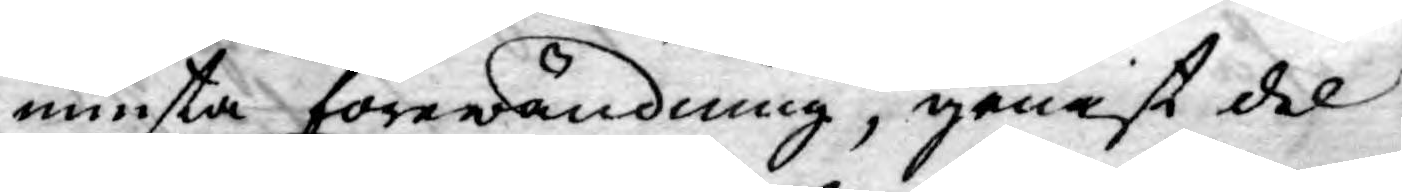minsta förewändning, genast del
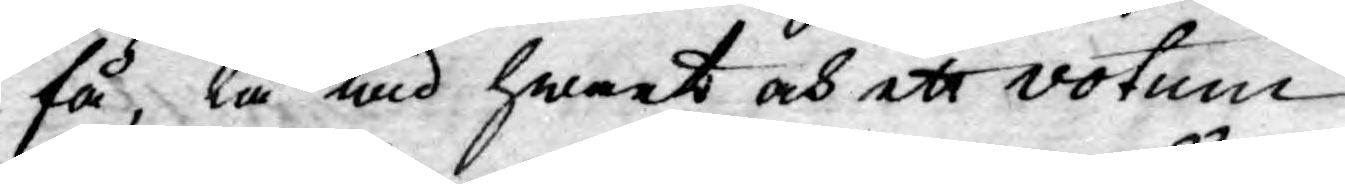få, tå wid hwart och ett votum
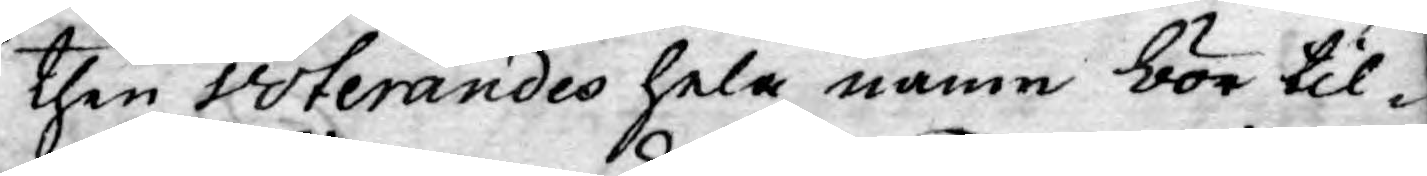then voterandes hela namn bör til¬
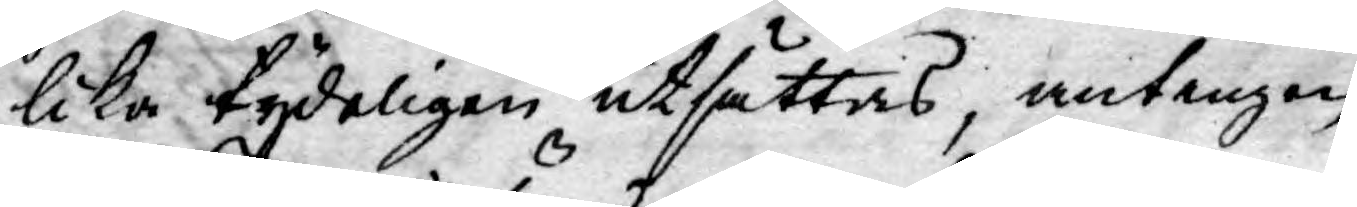lika tydeligen utsättas, antingen
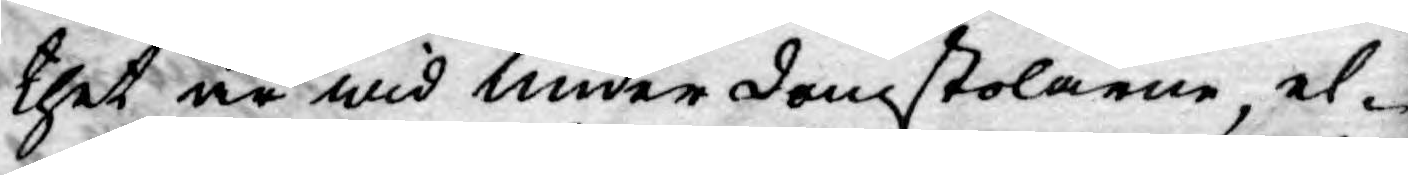thet är wid underdomstolarne, el¬
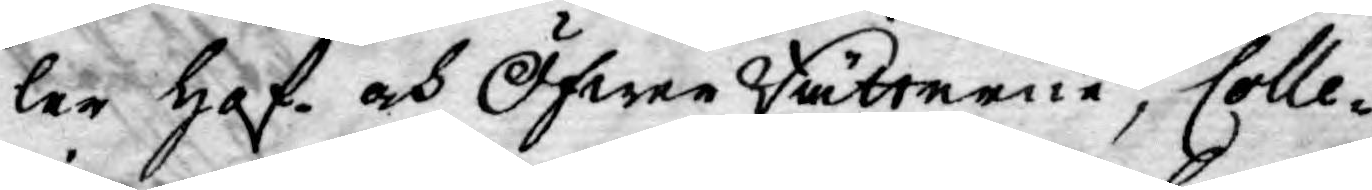ler Hof och ÖfwerRätterne, Colle¬
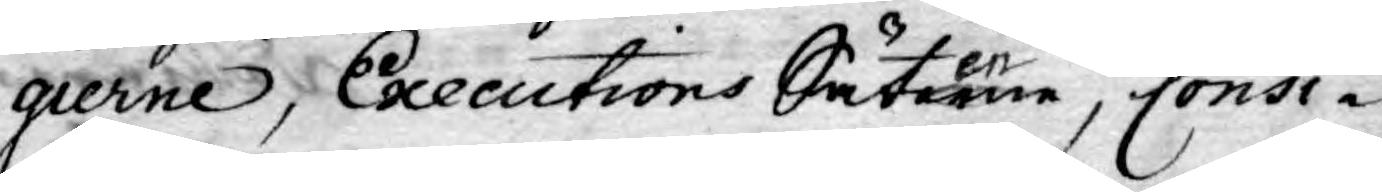gierne, Executions Säterne, Consi¬
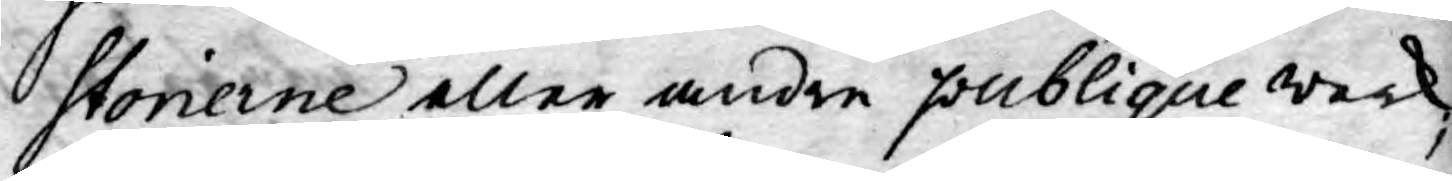storierne eller andre publique werk
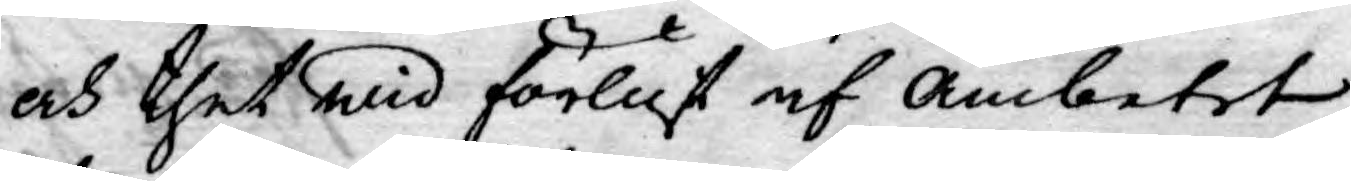och thet wid förlust af ämbetet
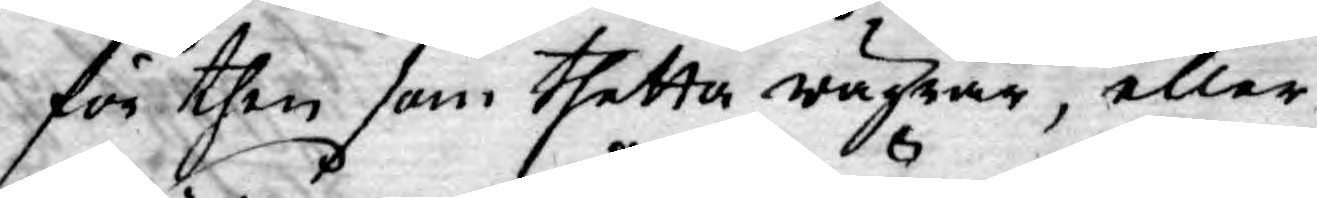för then som thetta wägrar, eller
